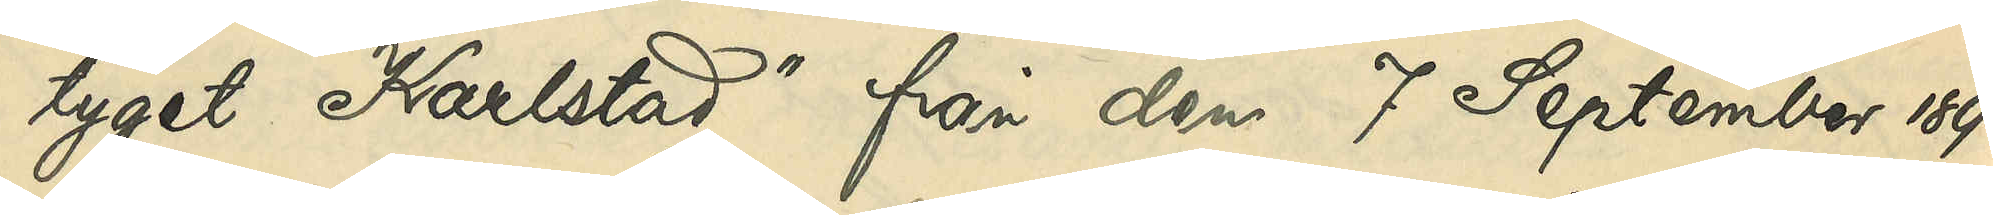tyget "Karlstad" från den 7 September 1892
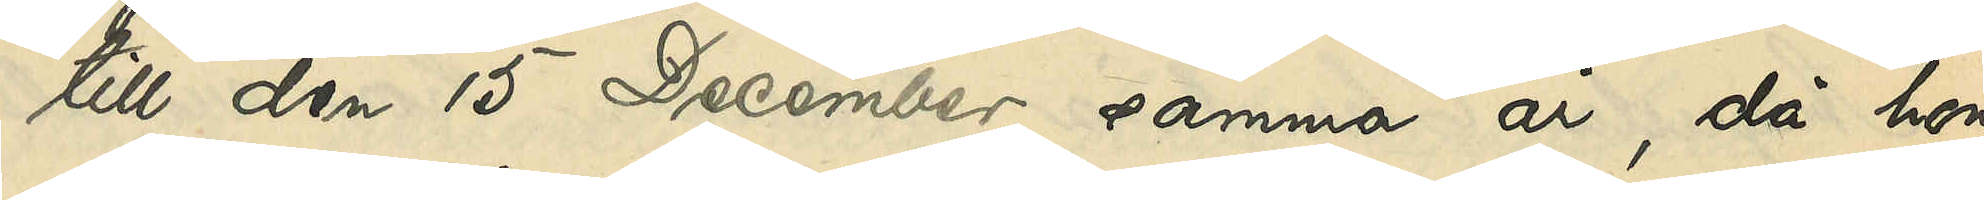till den 15 December samma år, då hon
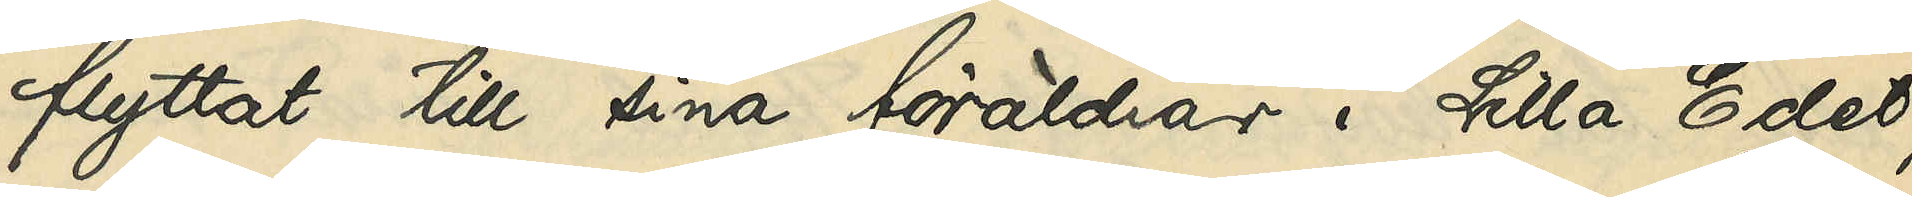flyttat till sina föräldrar i Lilla Edet;
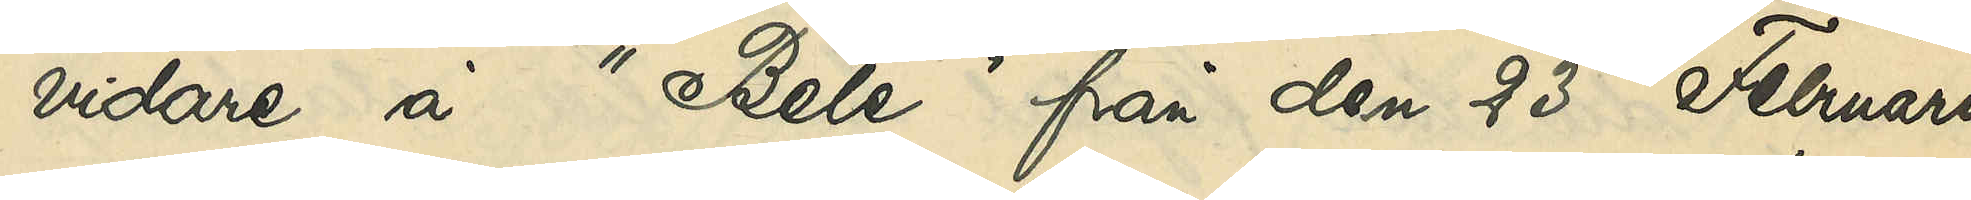vidare å "Bele" från den 23 Februari
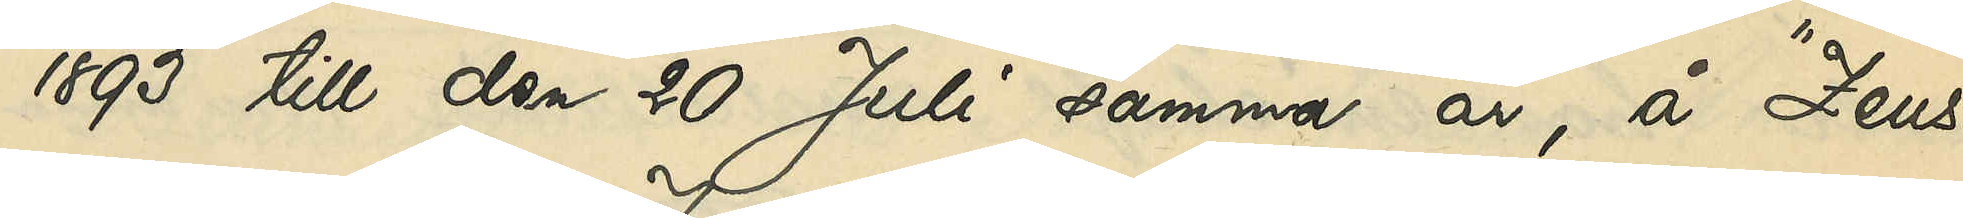1893 till den 20 Juli samma år, å "Zeus"
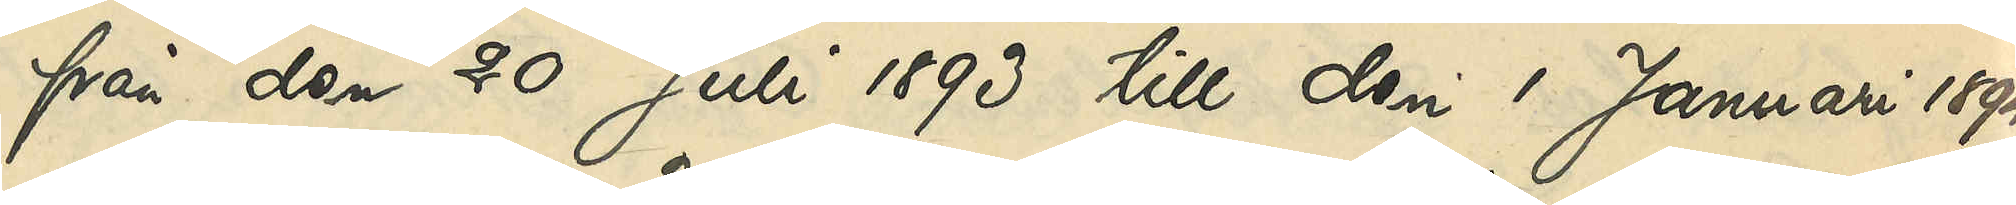från den 20 Juli 1893 till den 1 Januari 1894
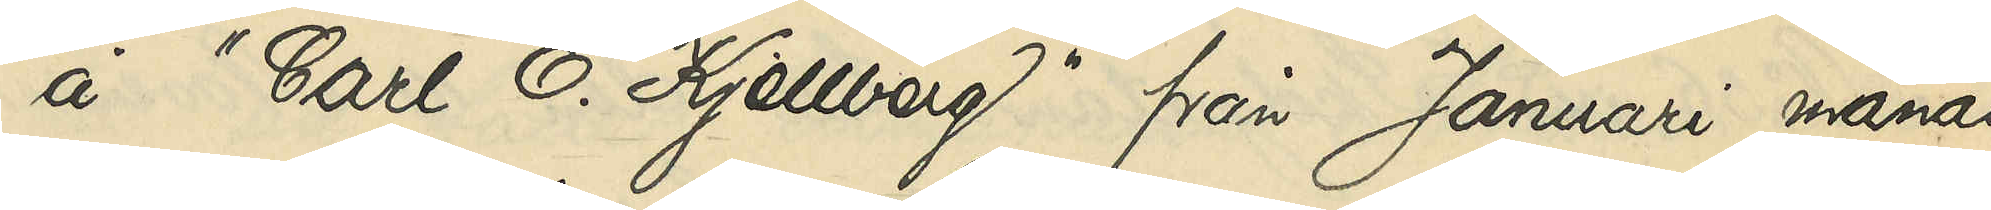å "Carl O. Kjellberg" från Januari månad
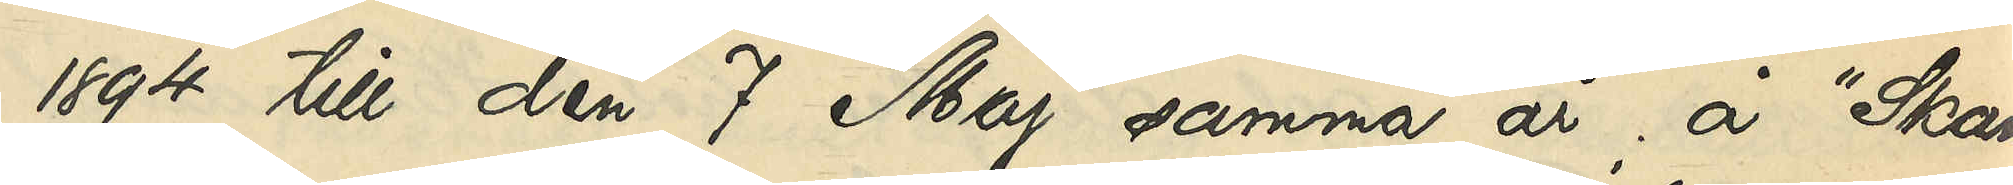1894 till den 7 Maj samma år; å "Skan¬
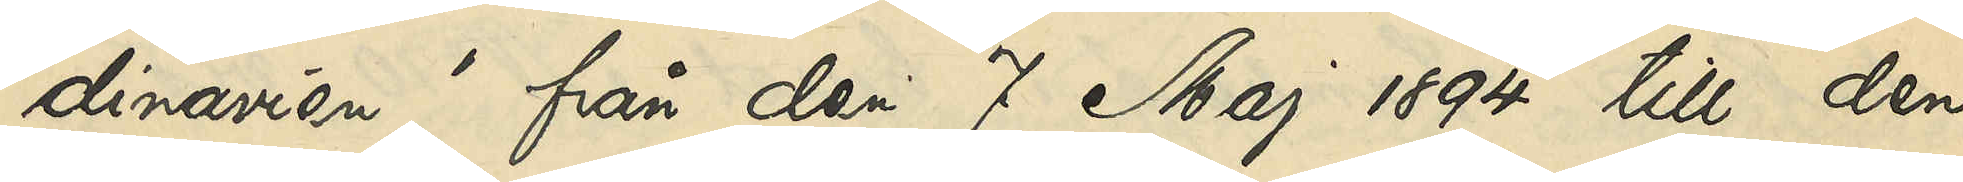dinavien" från den 7 Maj 1894 till den
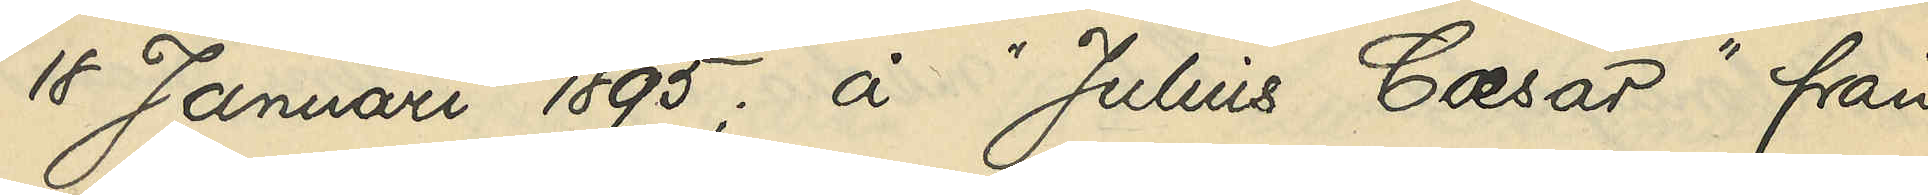18 Januari 1895; å "Julius Cæsar" från
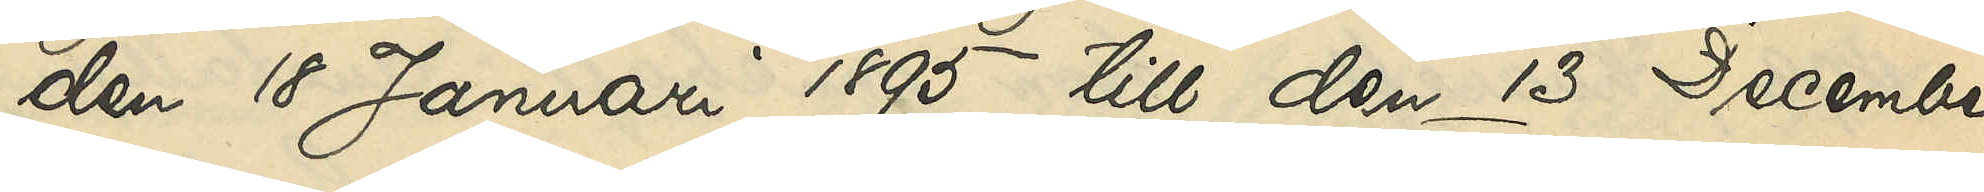den 18 Januari 1895 till den 13 December
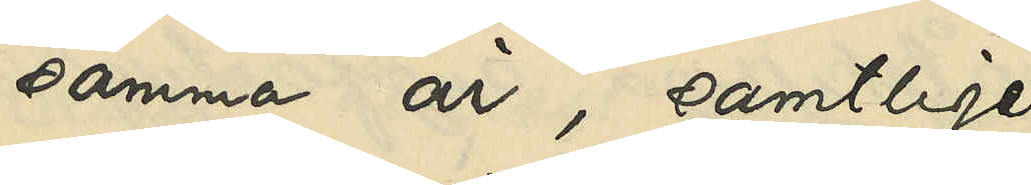samma år, samtlige
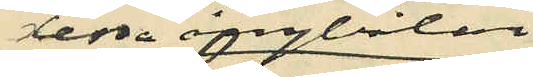dessa ångbåtar
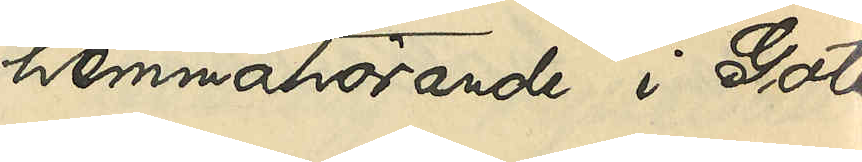hemmahörande i Göte¬
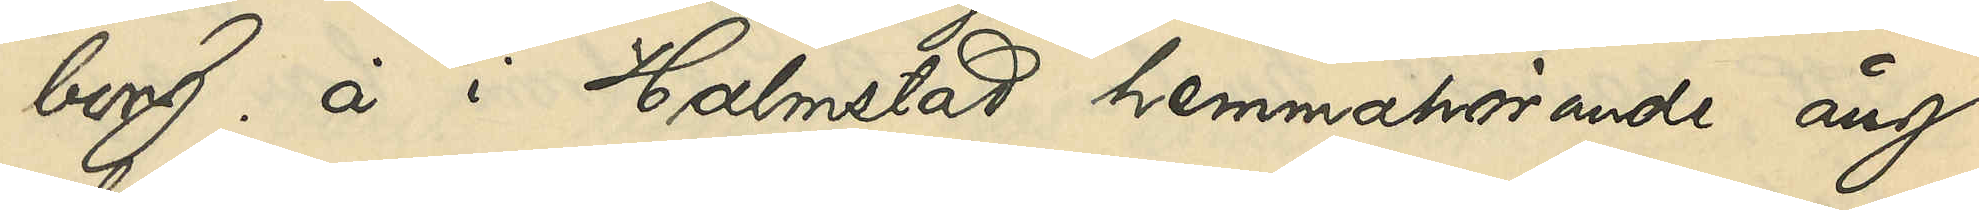borg; å i Halmstad hemmahörande ång¬
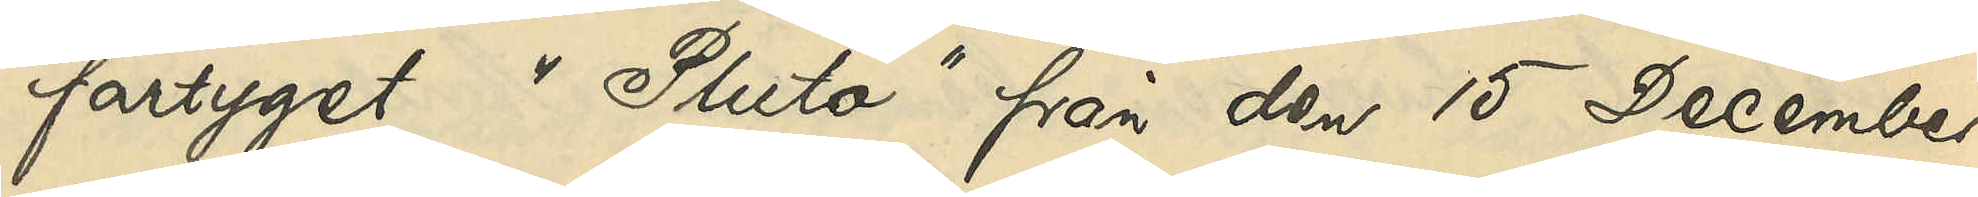fartyget "Pluto" från den 15 December
